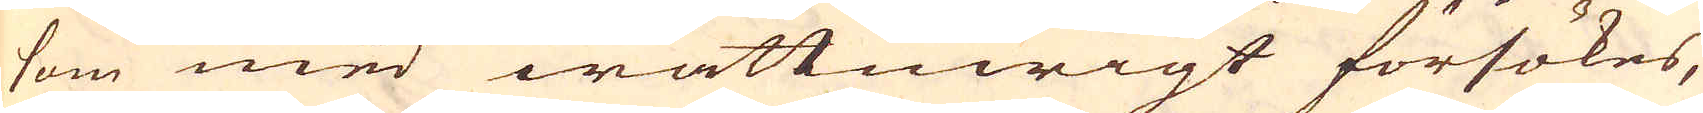som med wattuwigt försökes,
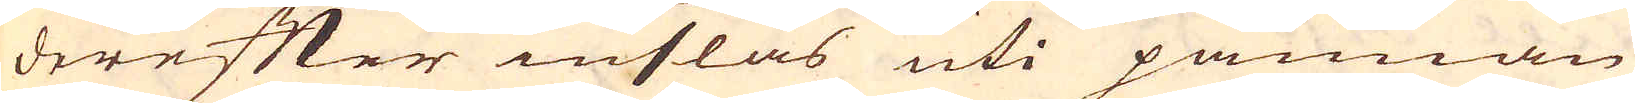derefter inslås uti pannan
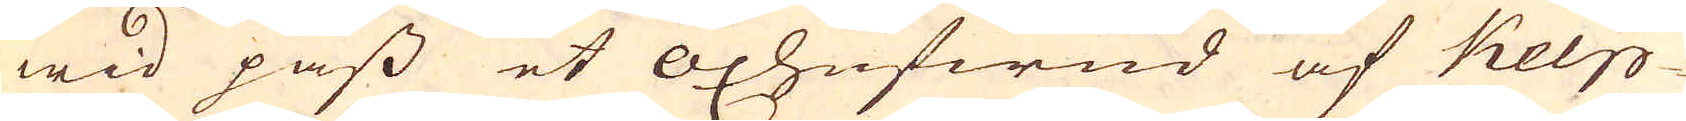wid pass et oxhufwud af Kelp-
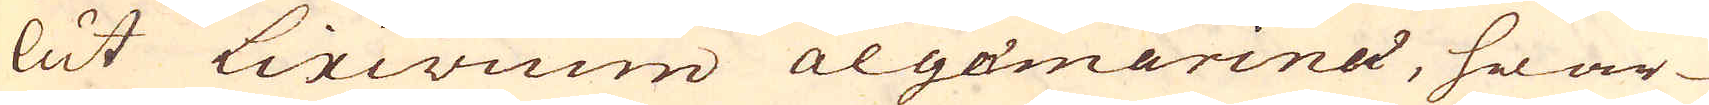lut Lixivium algamarina, hwar-
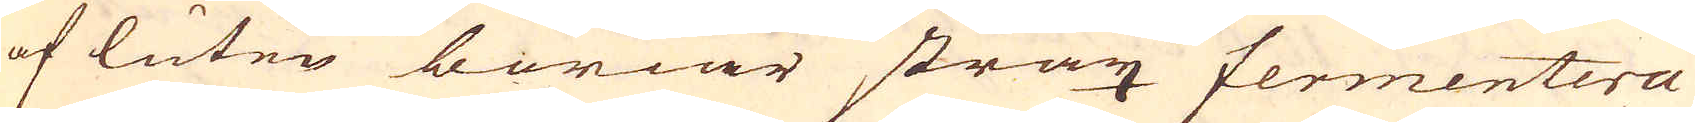af luten böriar strax fermentera
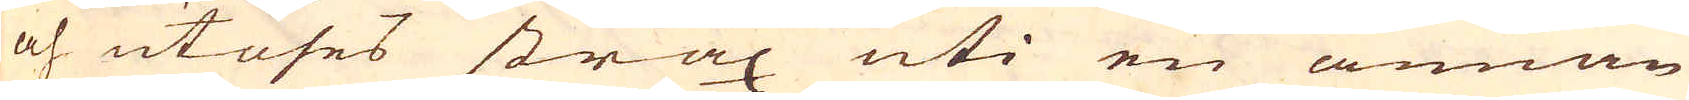och utöses strax uti en annan
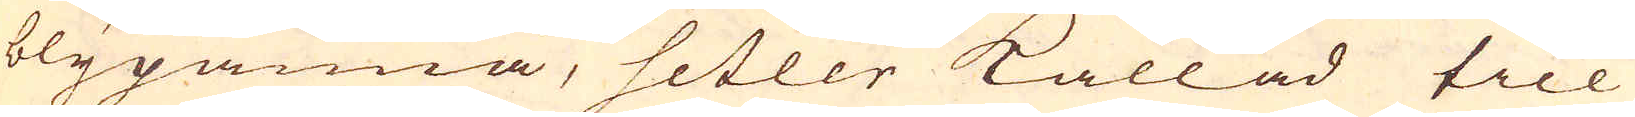blypanna, setler kallad till
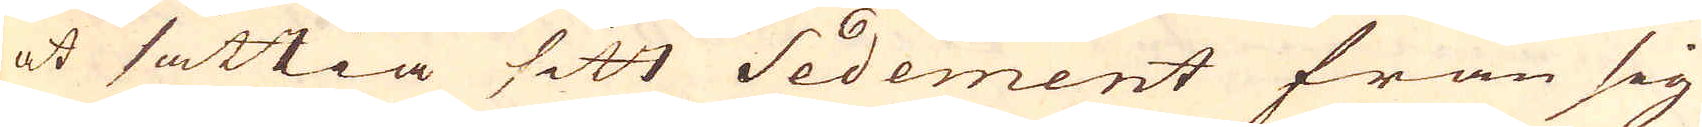at sättia sitt Sedement från sig
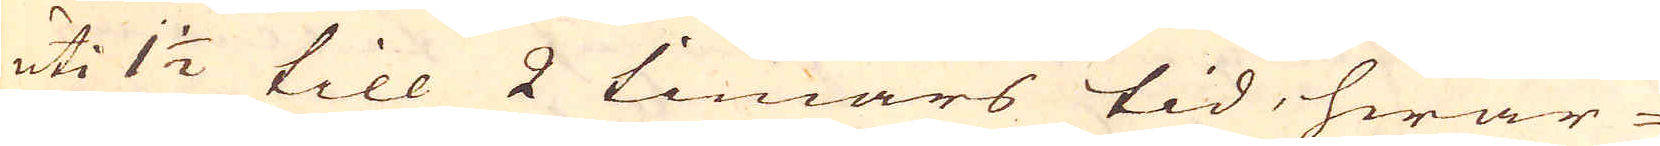uti 1 1/2 till 2 timars tid, hwar-
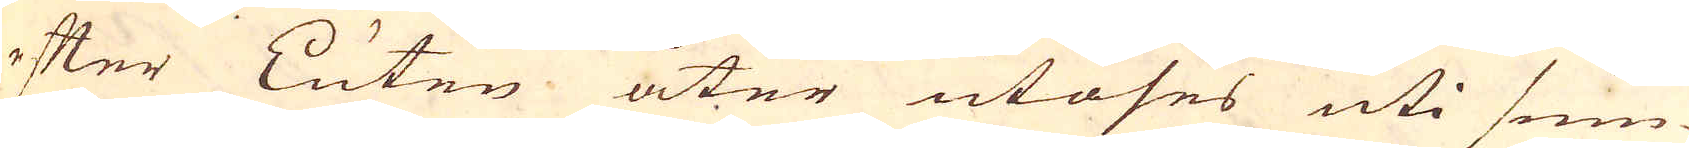efter Luten åter utöses uti sum-
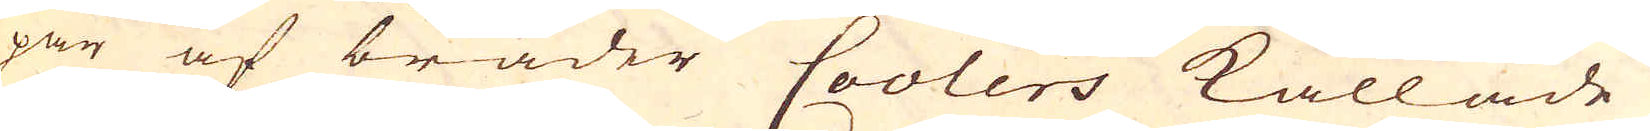par af bräder Coolers kallade,
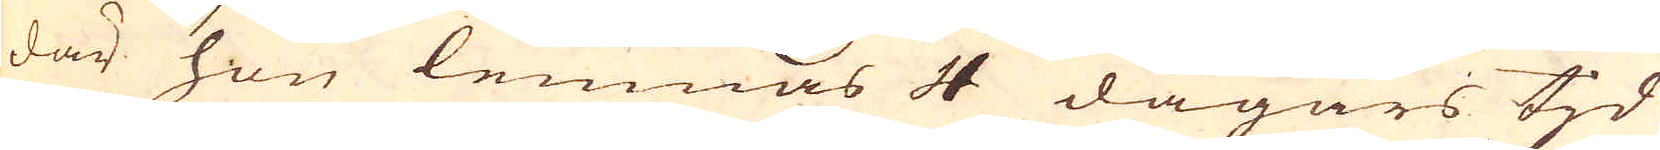där hon lemnas 4 dagars tjd
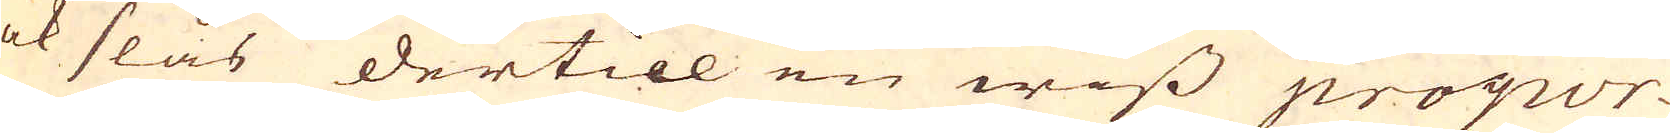ock slås dertill en wiss propor-
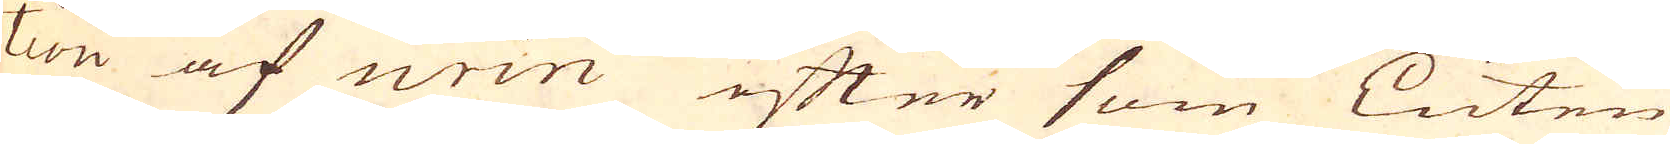tion af urin efter som Luten
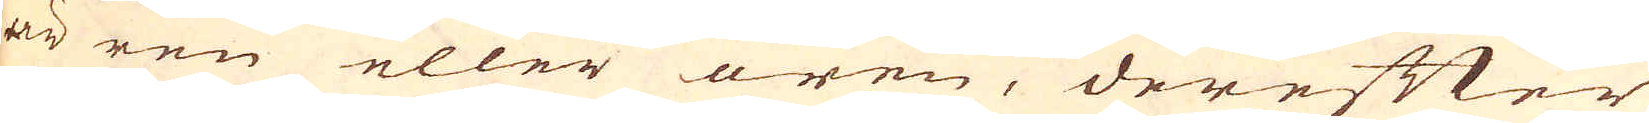är ren eller oren, derefter
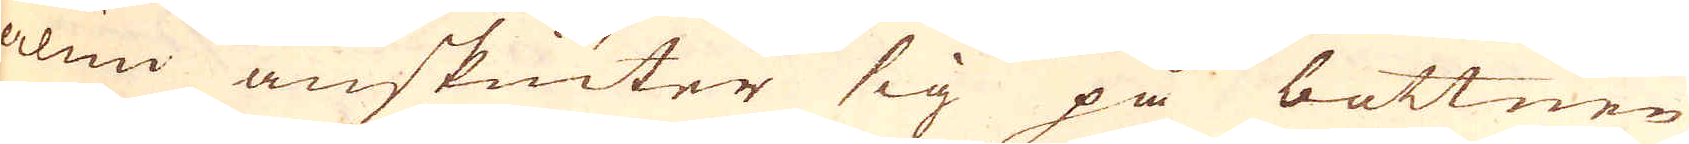alun anskiuter sig på bottnen
